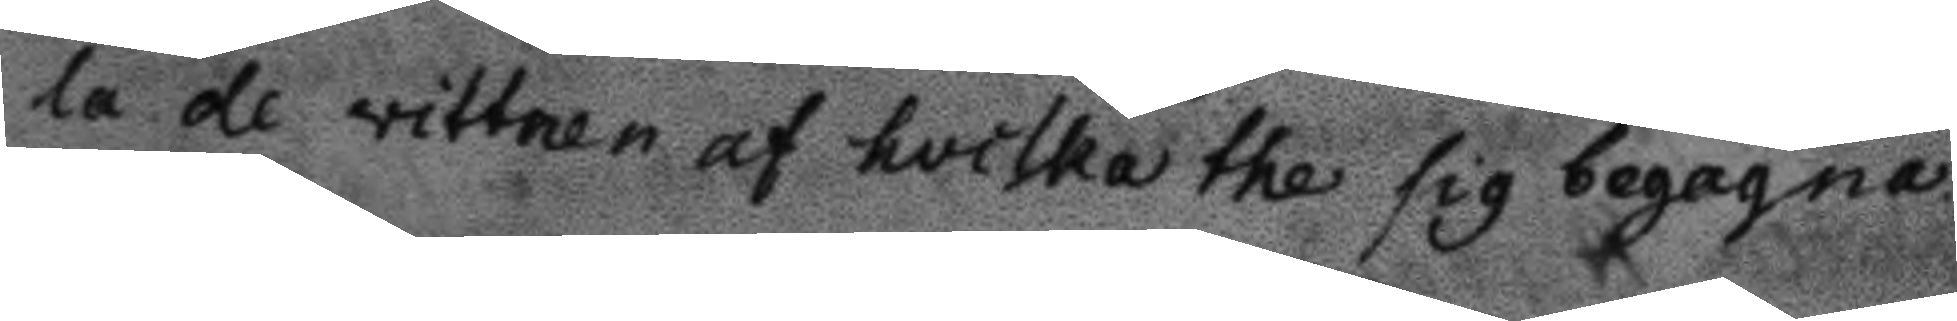la de vittnen af hvilka the sig begagna
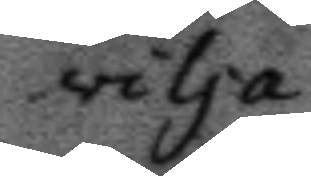vilja.
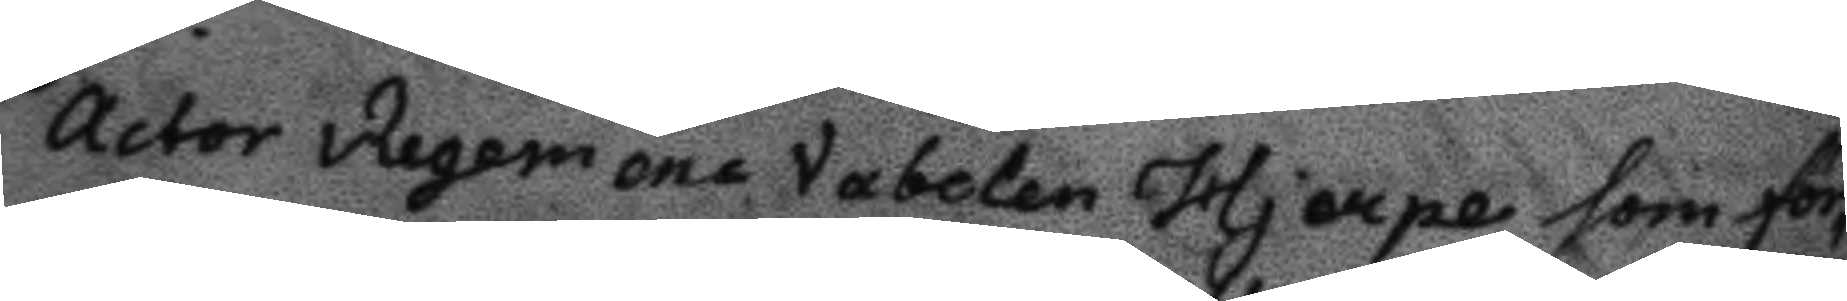Actor Regemens Vabelen Hjerpe som för¬
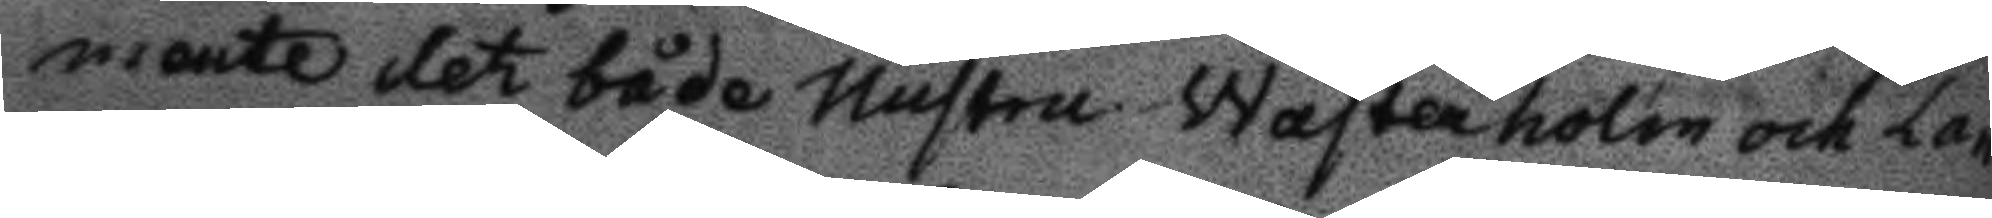mente det både hustru Wasterholm och La¬
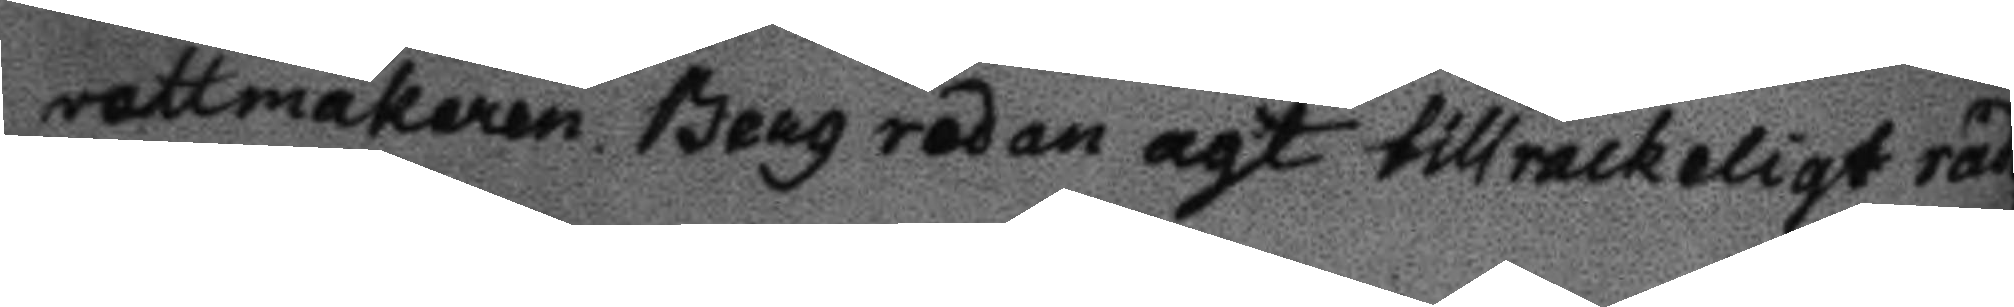vettmakaren Berg redan agt tillrackeligt råd¬
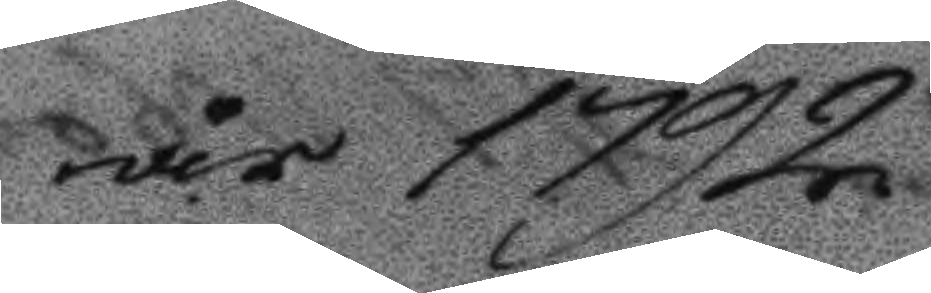år 1792
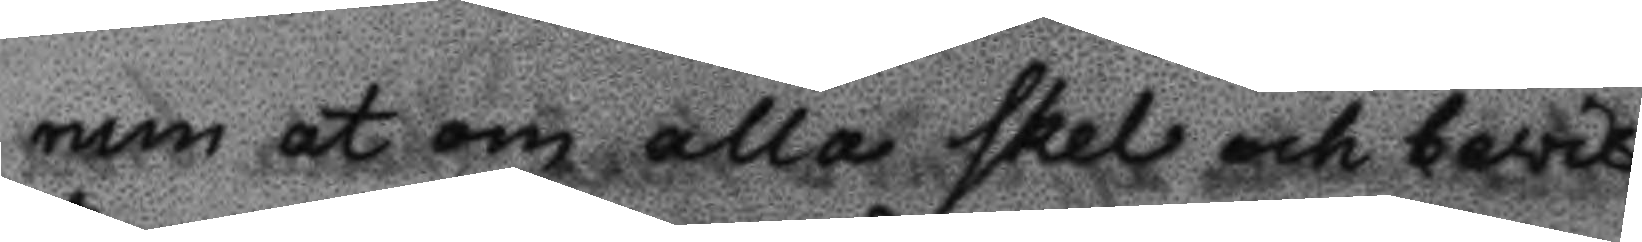rum at om alla skel och bewis
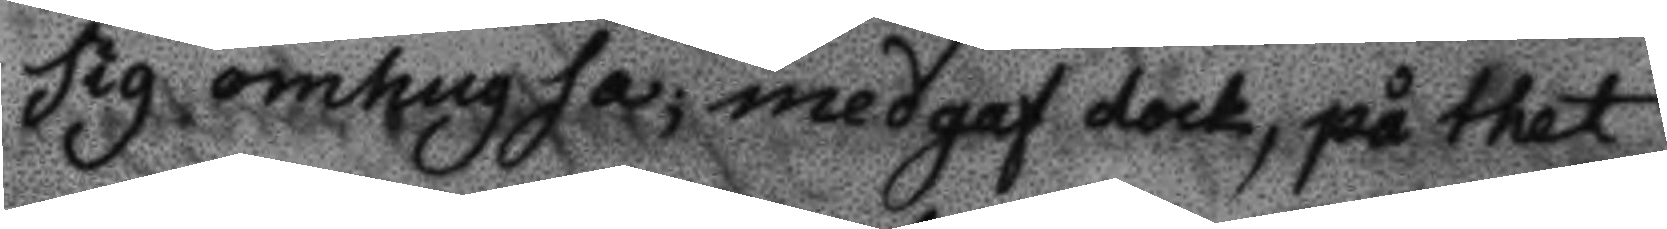sig omhugsa; medgaf dock, på thet
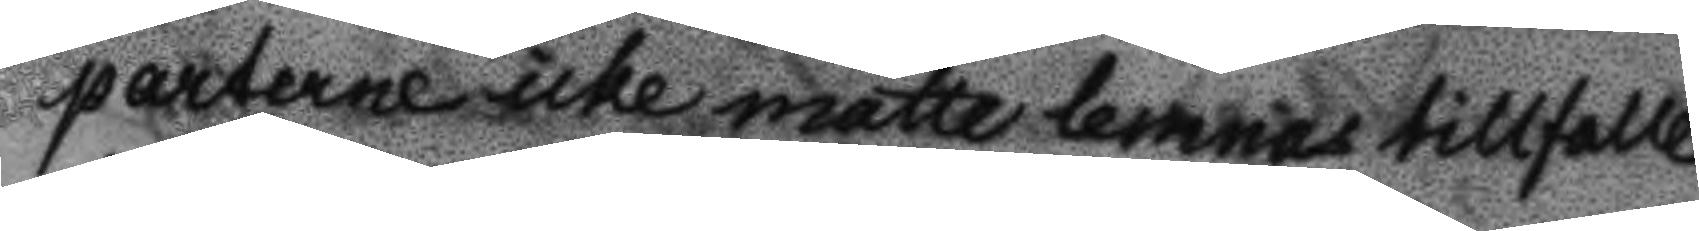parterne icke måtte lemnas tillfalle
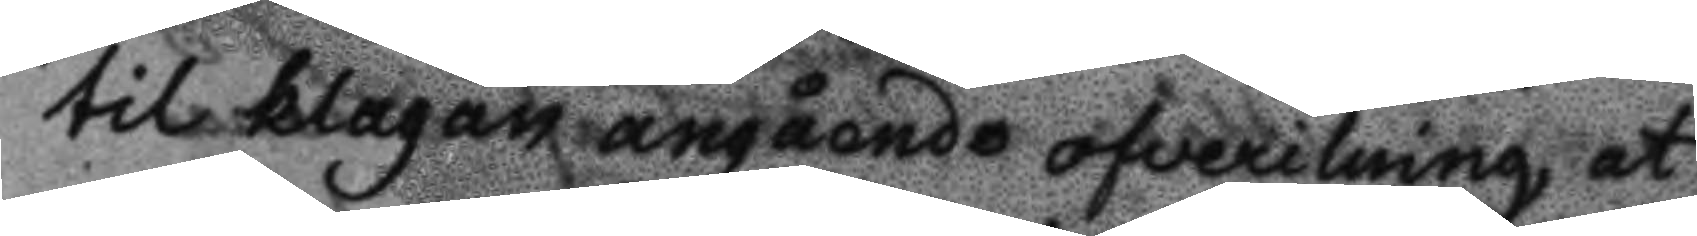til klagan angående ofverilning, at
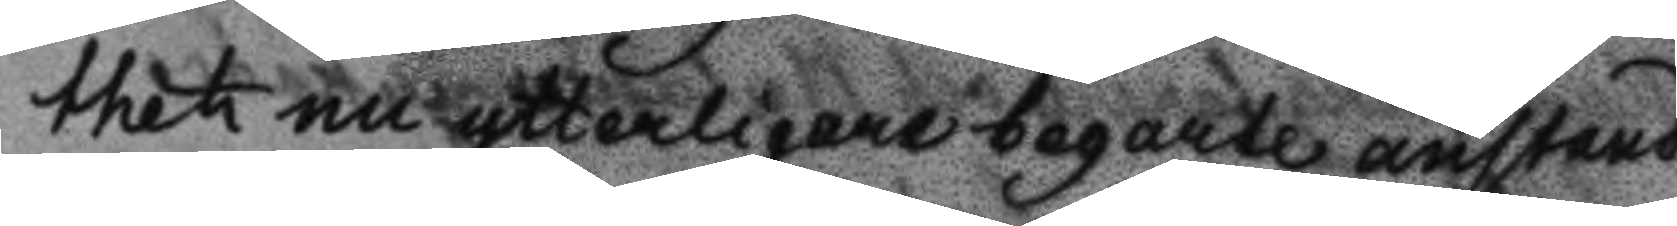thet nu ytterligare begarte anstånd
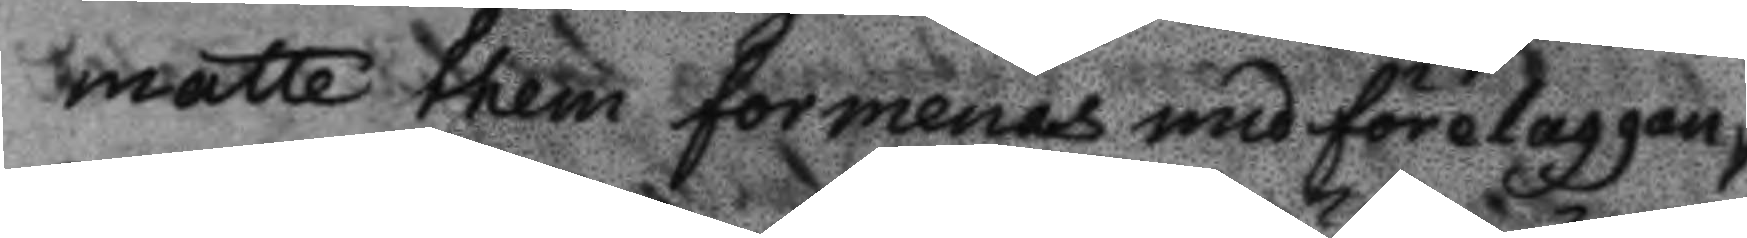måtte them formenas med förelaggan¬
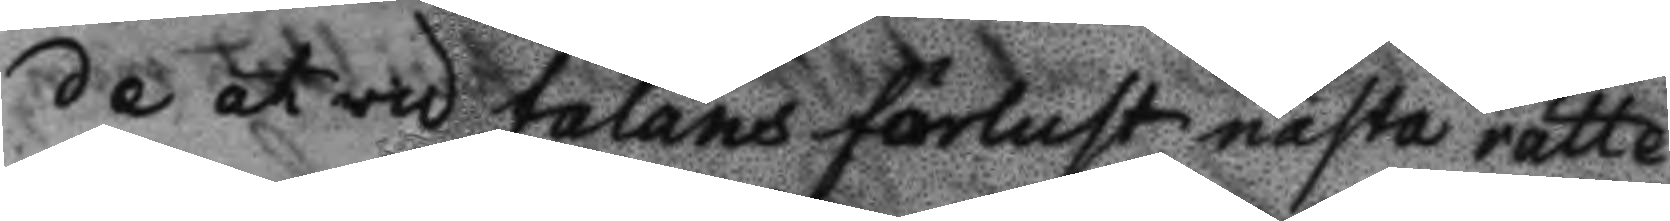de at wid talans förlust nästa rätte¬
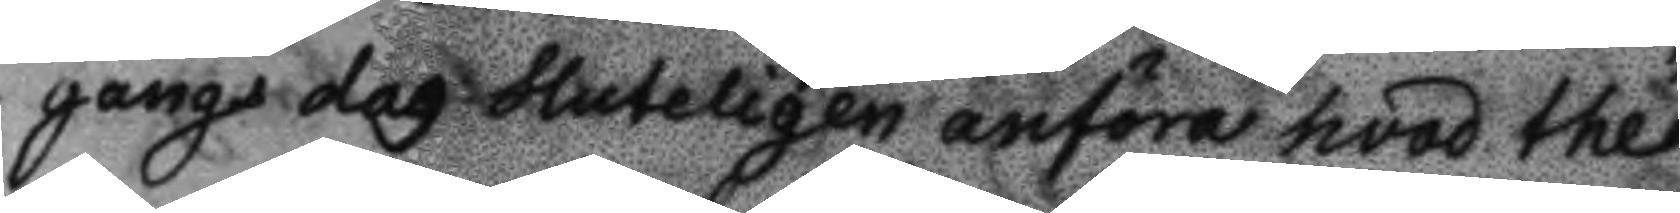gångs dag sluteligen anföra hvad the
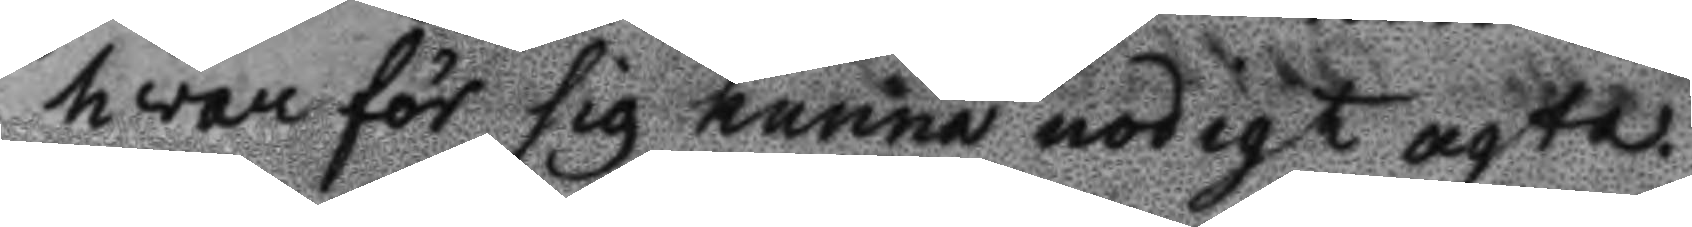hwar för sig kunna nödigt agta.
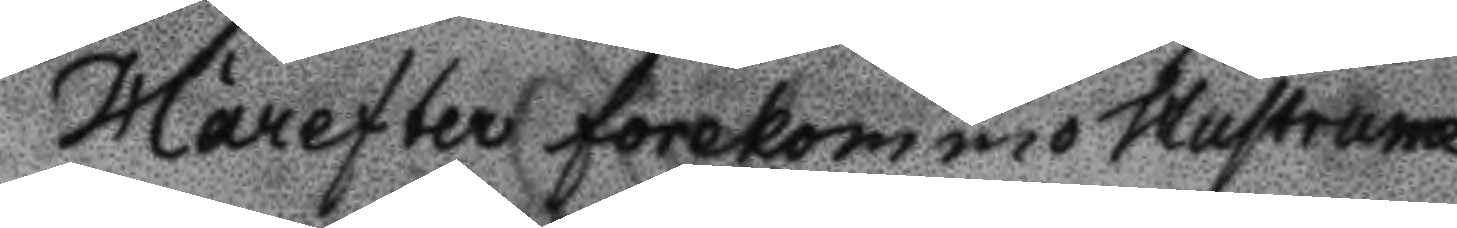Härefter forekommo Hustrurne
